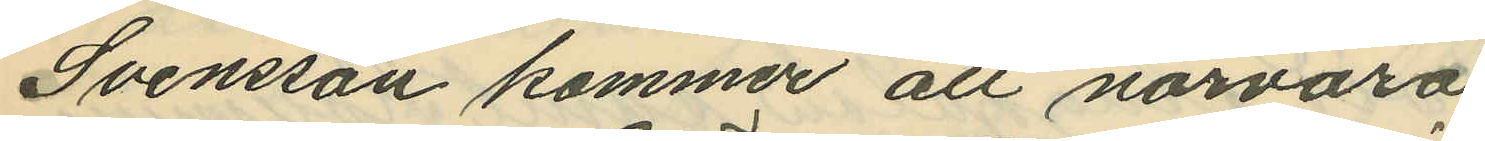Svensson kommer att närvara
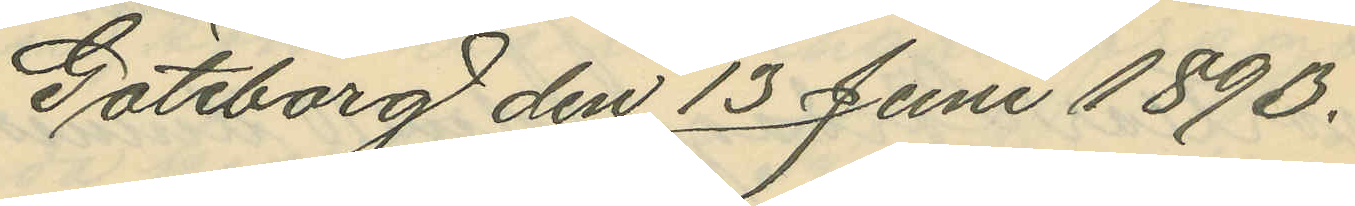Göteborg den 13 Juni 1890.
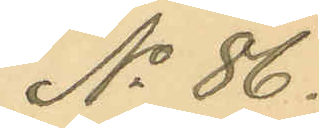No 86.
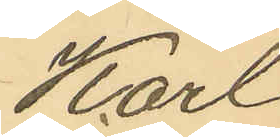Karl
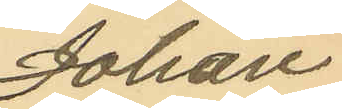Johan
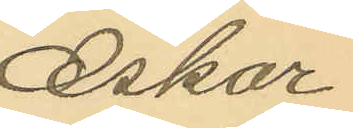Oskar
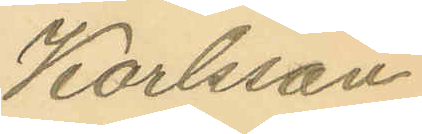Karlsson
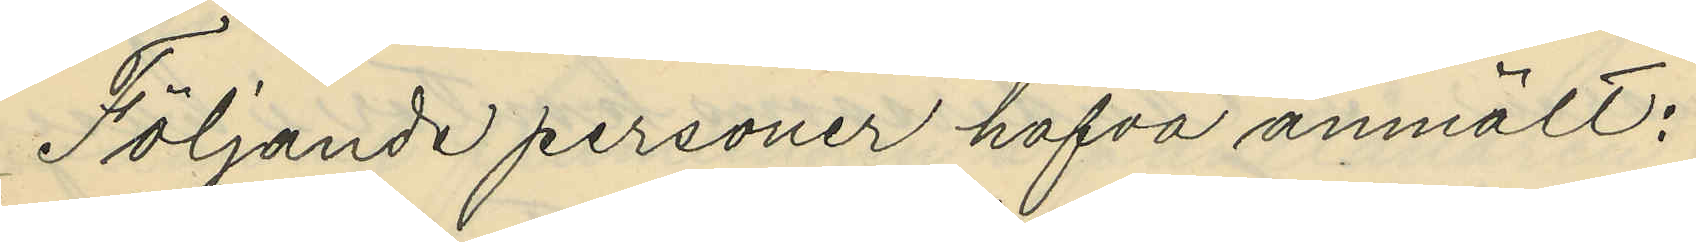Följande personer hafva anmält:
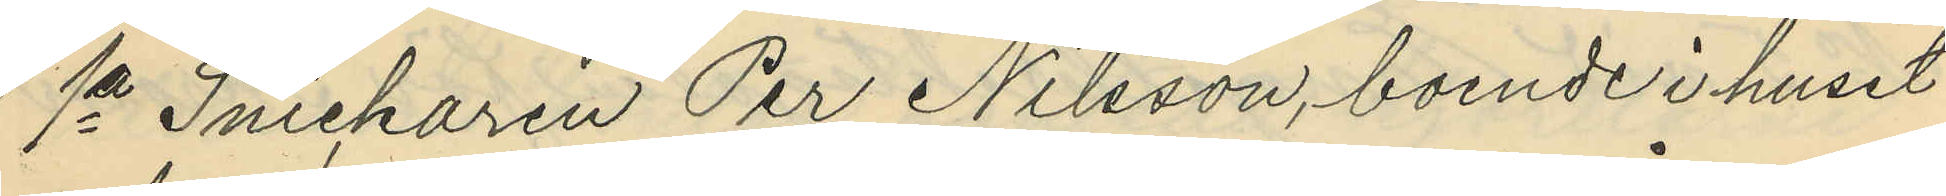1a Snickaren Per Nilsson, boende i huset
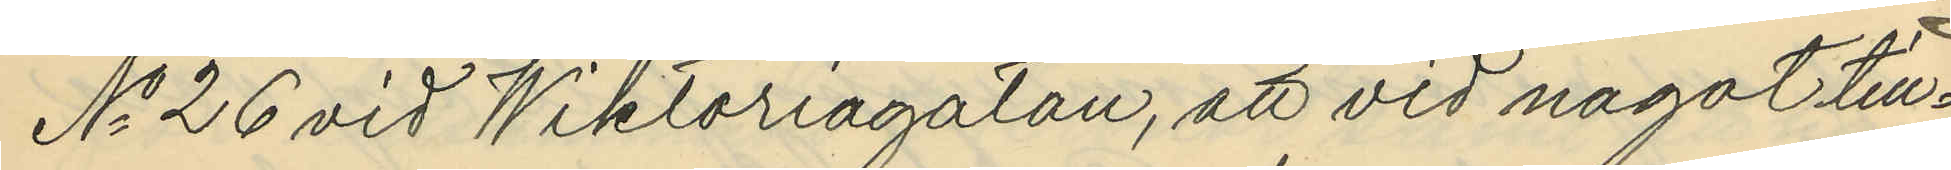No 26 vid Wiktoriagatan, att vid något till¬
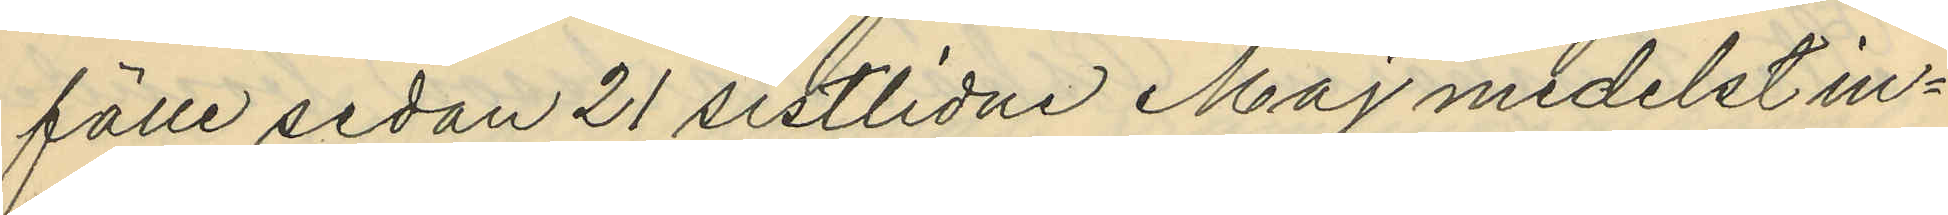fälle sedan 21 sistlidne Maj medelst in¬
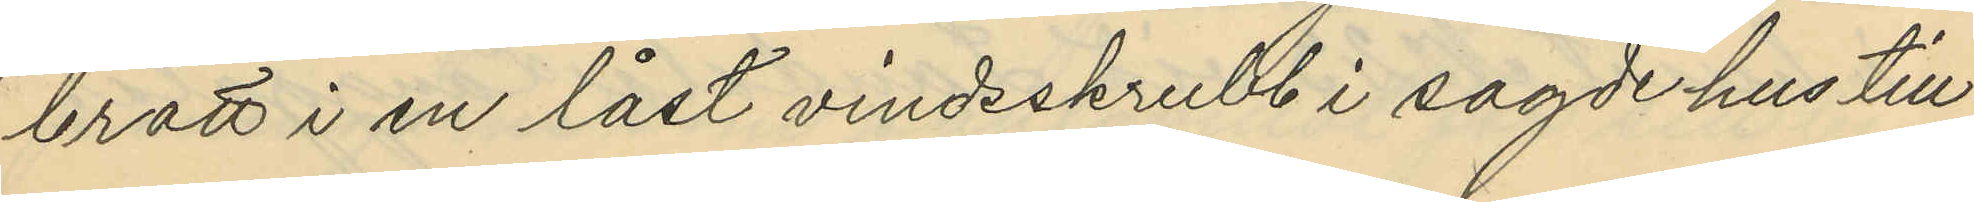brott i en låst vindsskrubb i sagde hus till
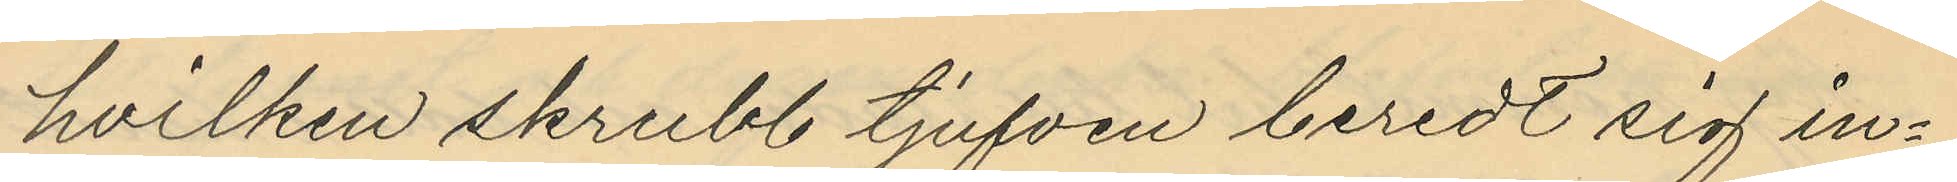hvilken skrubb tjufven beredt sig in¬
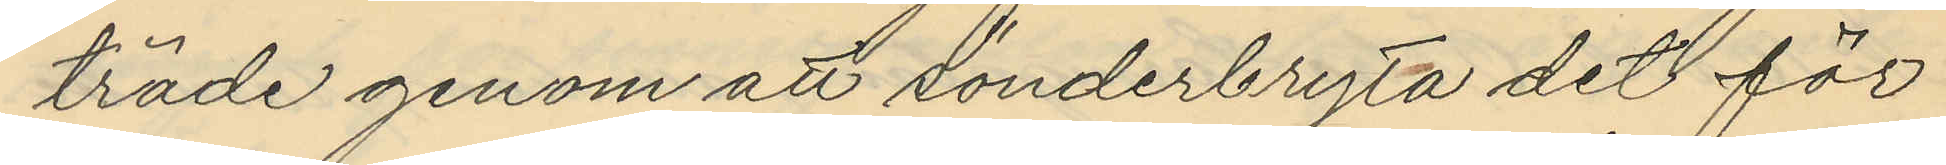träde genom att sönderbryta det för
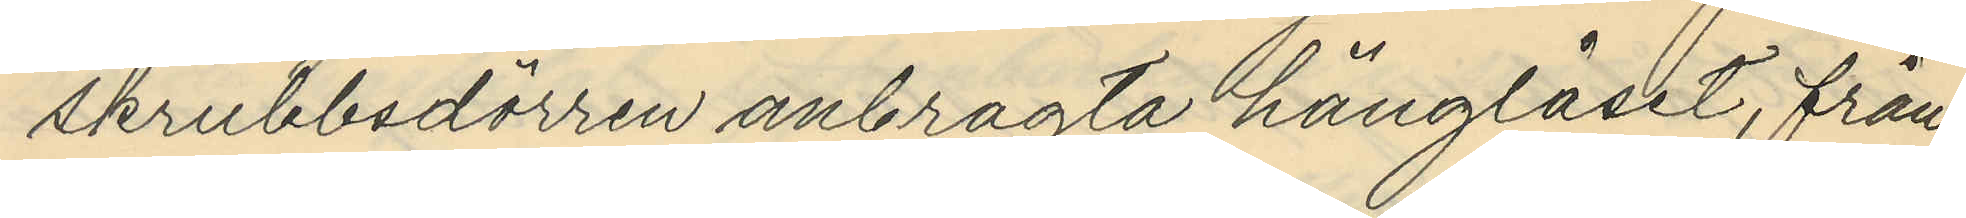skrubbsdörren anbragta hänglåset, från
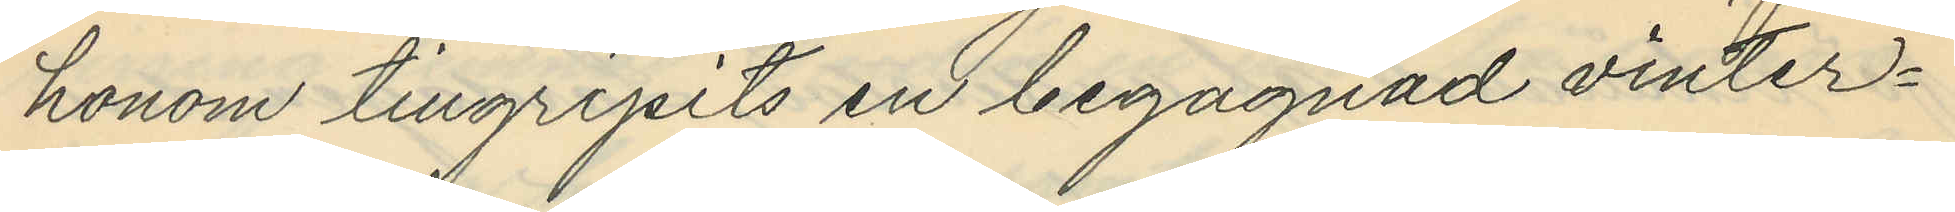honom tillgripits en begagnad vinter¬
